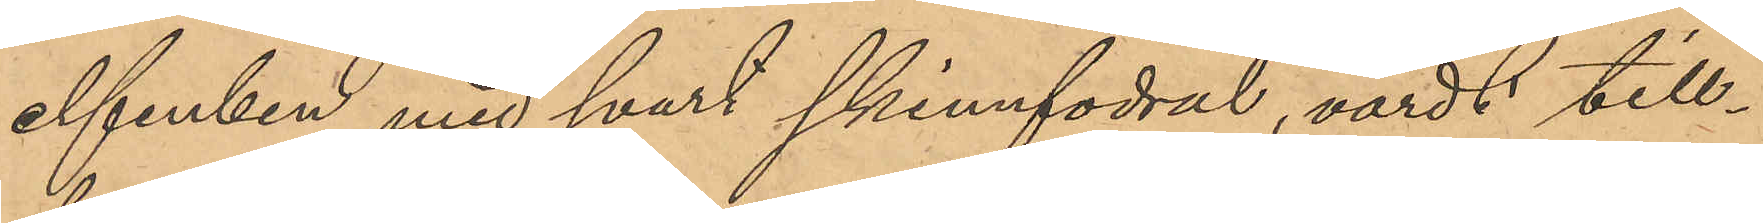elfenben med svart skinnfodral, värdt till¬
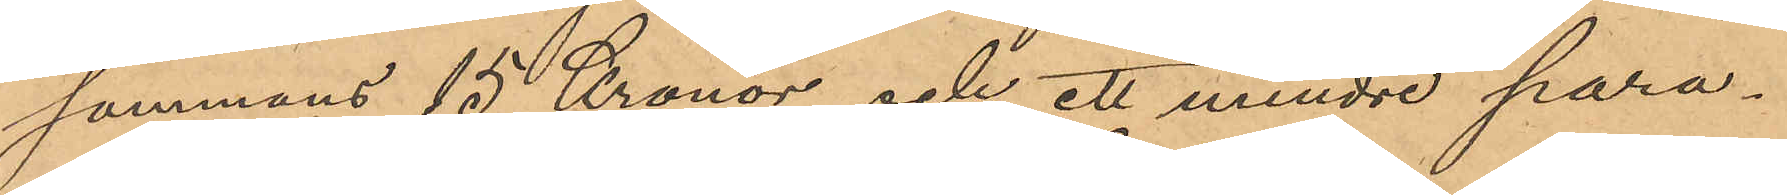sammans 15 Kronor, och ett mindre para¬
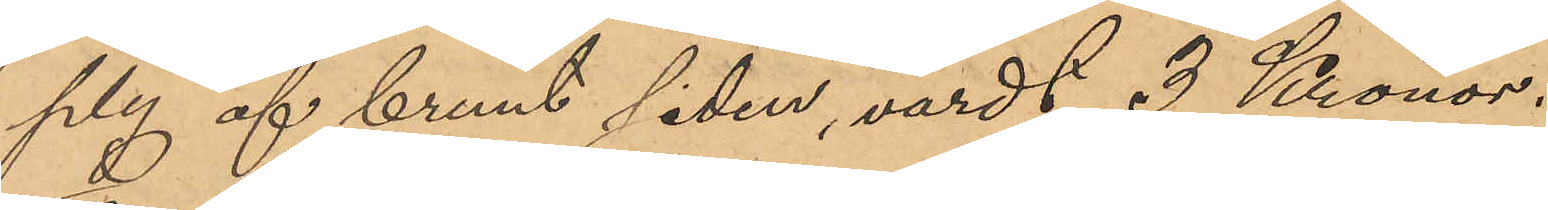ply af brunt siden, värdt 3 Kronor.
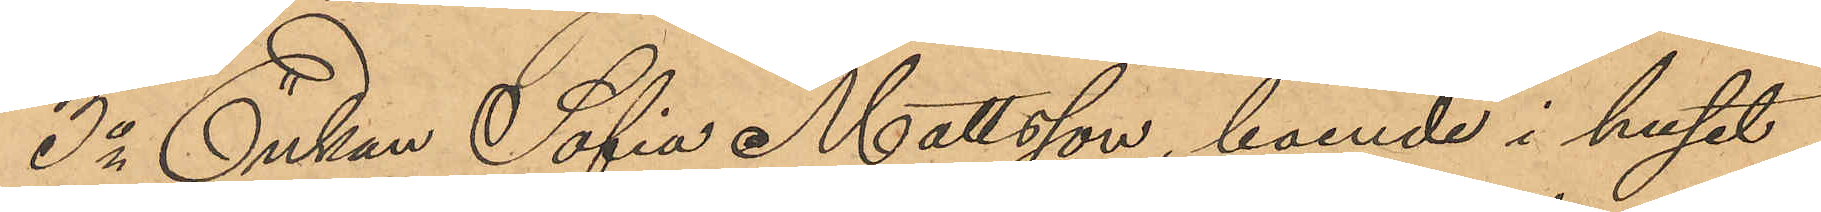3o Enkan Sofia Mattsson, boende i huset
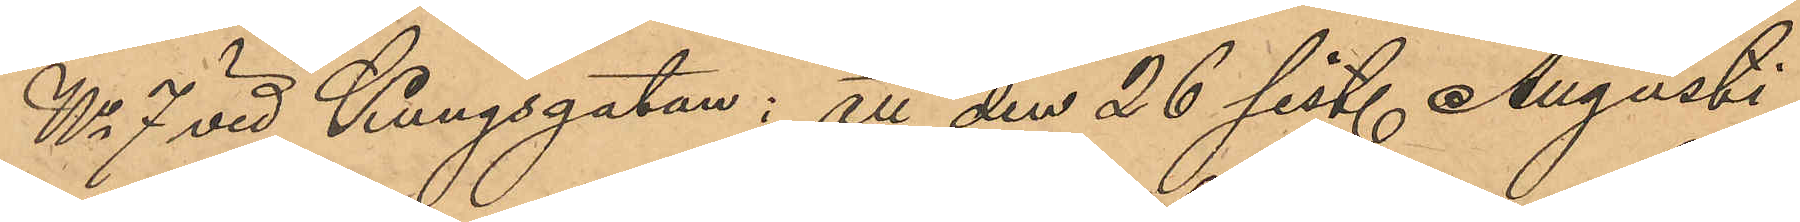No 7 vid Kungsgatan: att den 26 sist. Augusti
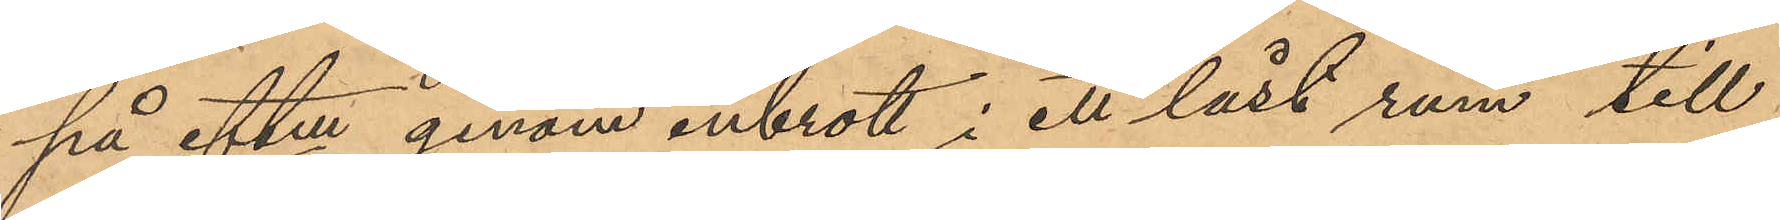på eftm genom inbrott i ett låst rum till
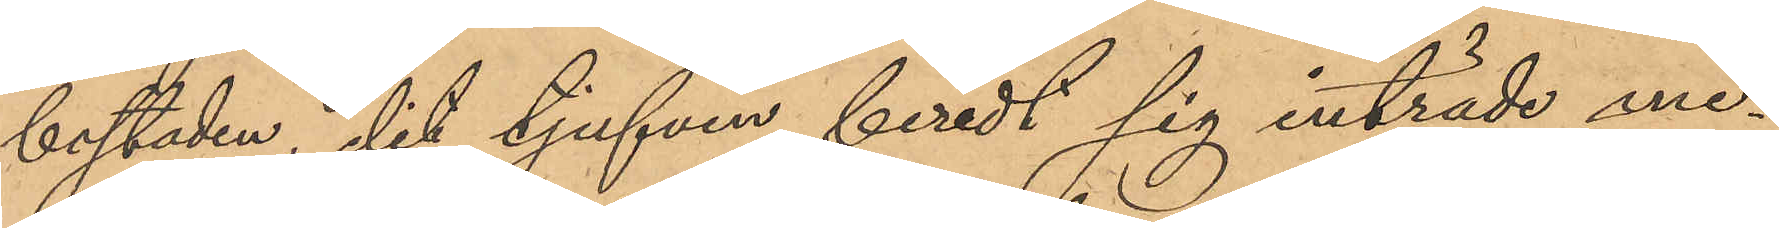bostaden, dit tjufven beredt sig inträde me¬
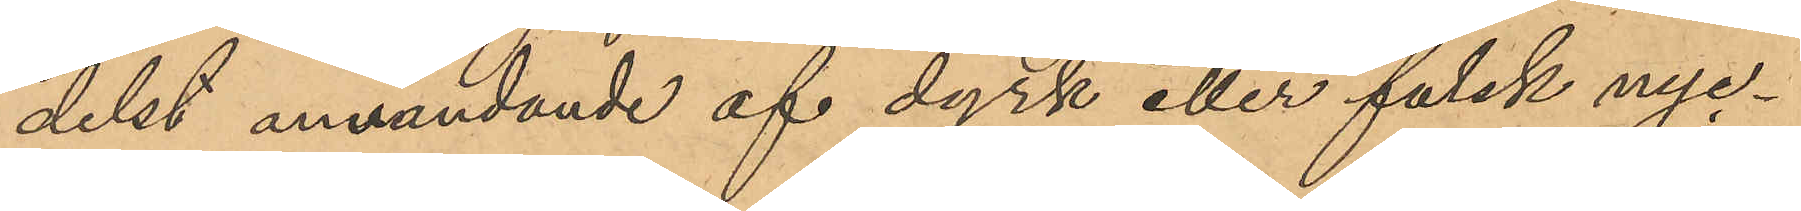delst användande af dyrk eller falsk nyc¬
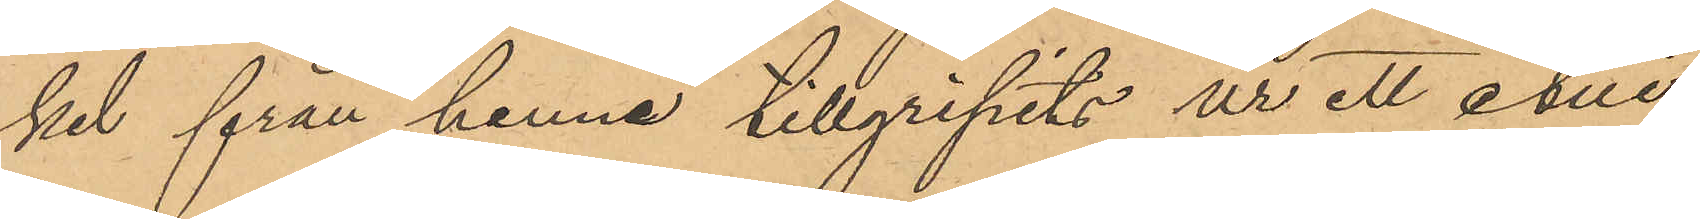kel från henne tillgripits ur ett etui,
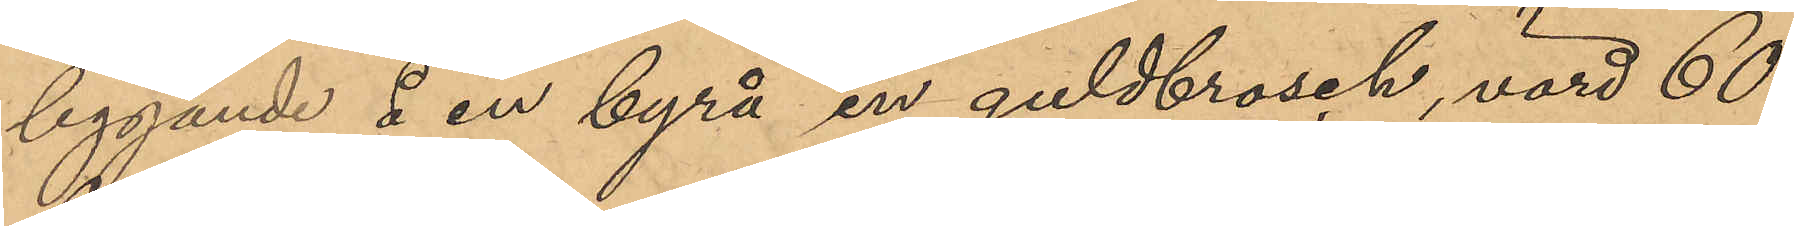liggande å en byrå en guldbrosch, värd 60
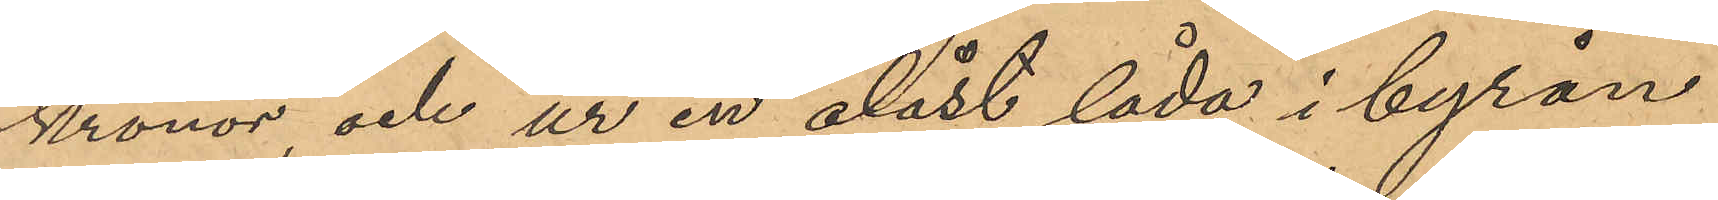Kronor, och ur en olåst låda i byrån
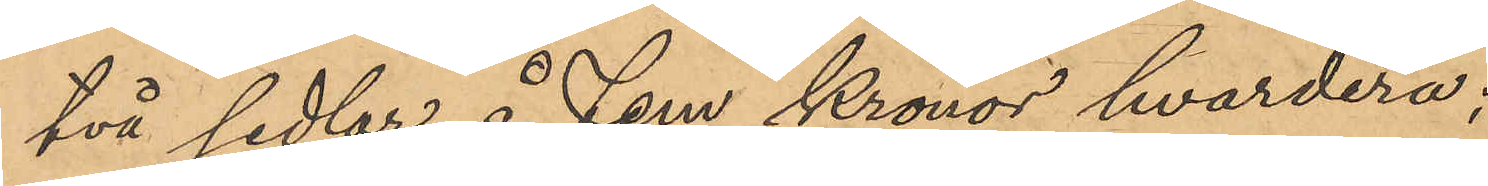två sedlar å Fem Kronor hvardera;
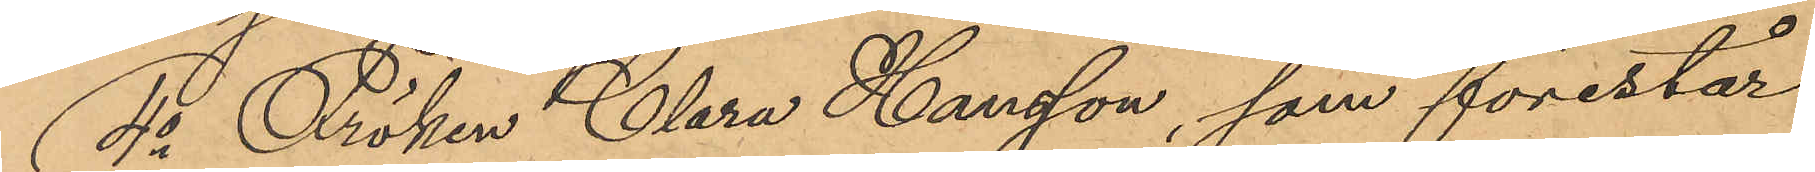4o Fröken Clara Hansson, som förestår
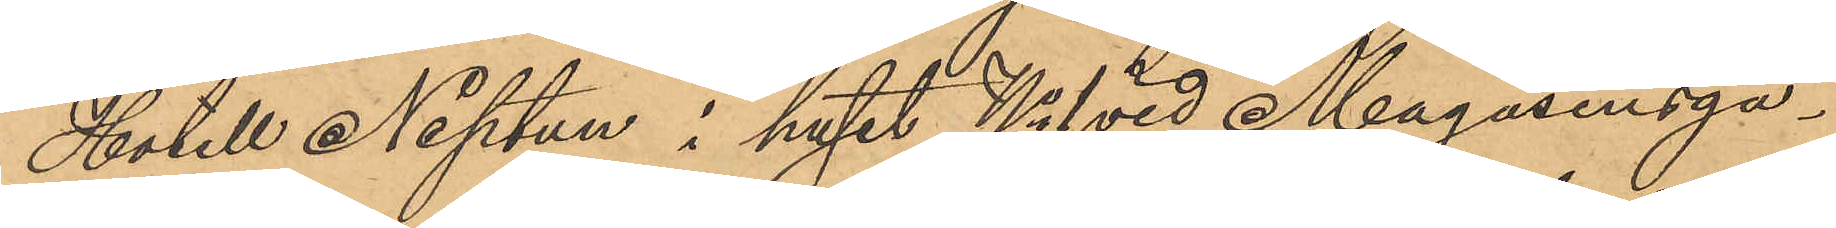Hotell Neptun i huset No 1 vid Magasinsga¬
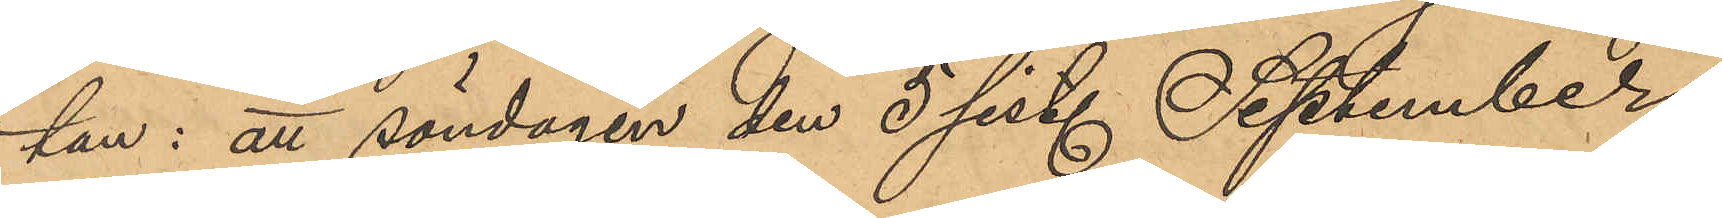tan: att söndagen den 5 sist. September
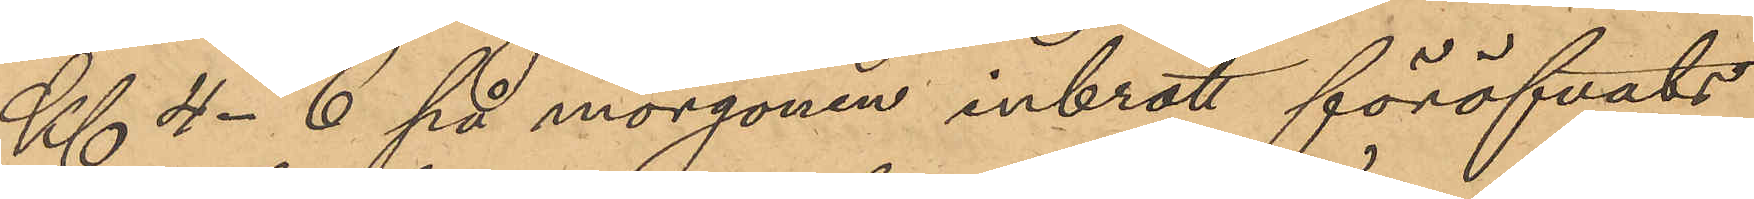Kl. 4-6 på morgonen inbrott föröfvats
